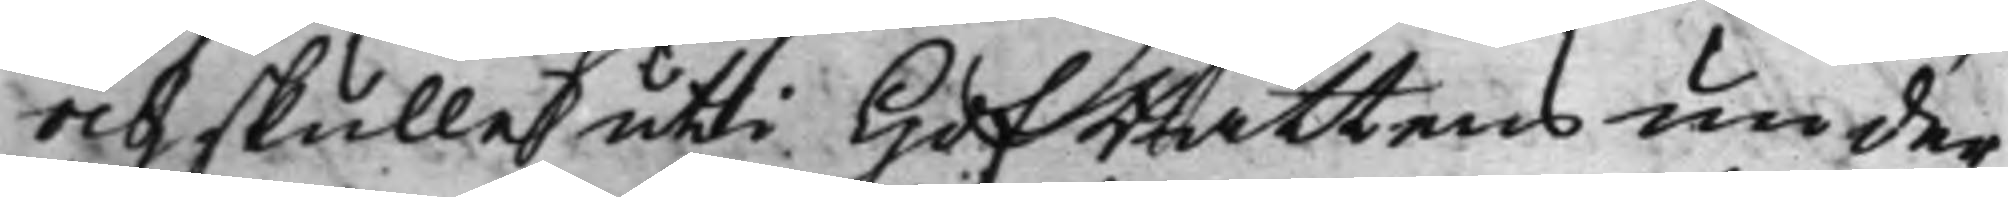och skulle uti HofRättens under¬
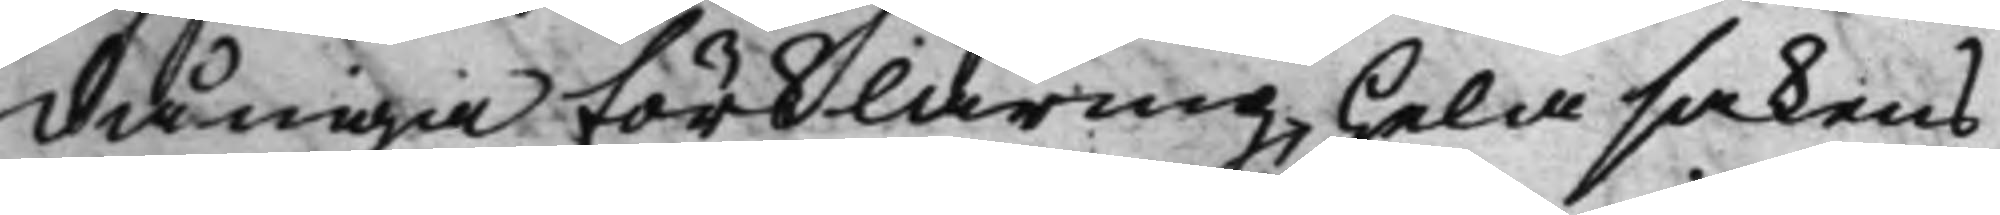dåniga förklaring, hela sakens
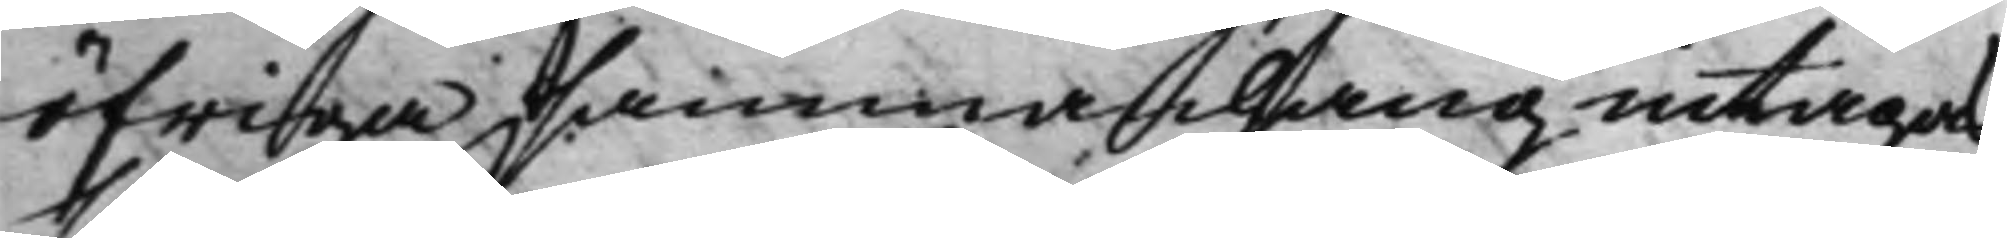öfriga sammanhang intagas
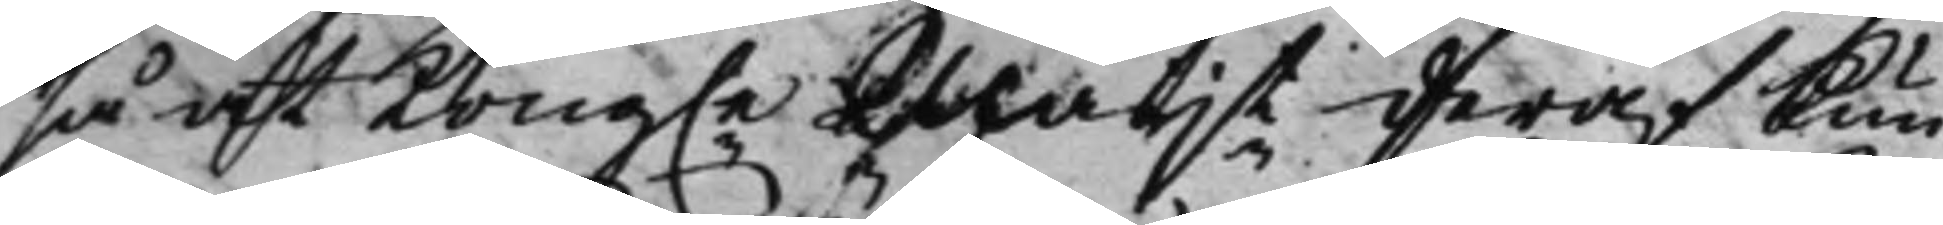så at Kong.e Maijt deraf kun¬
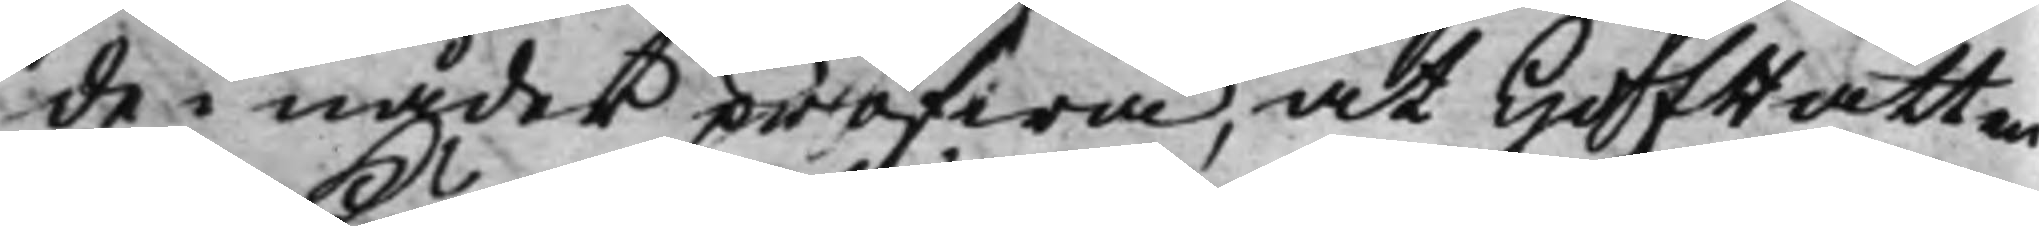de i nåder pröfwa, at HofRätten
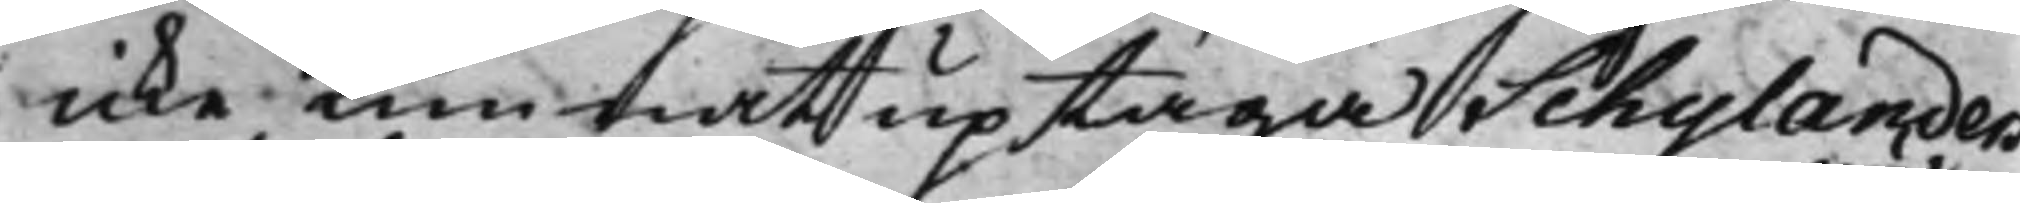icke Kunnat uptaga Schylanders
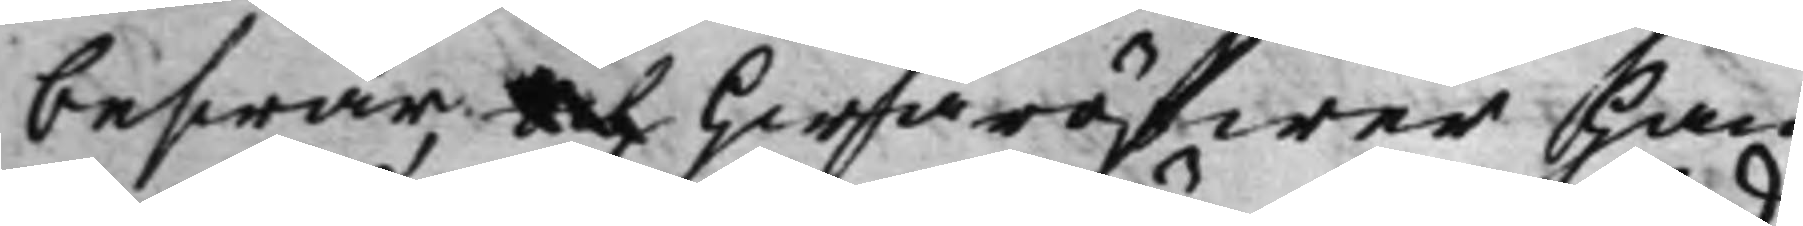beswär, och hwaröfwer han
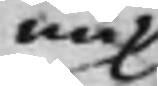nu
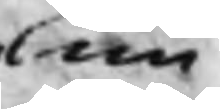un¬
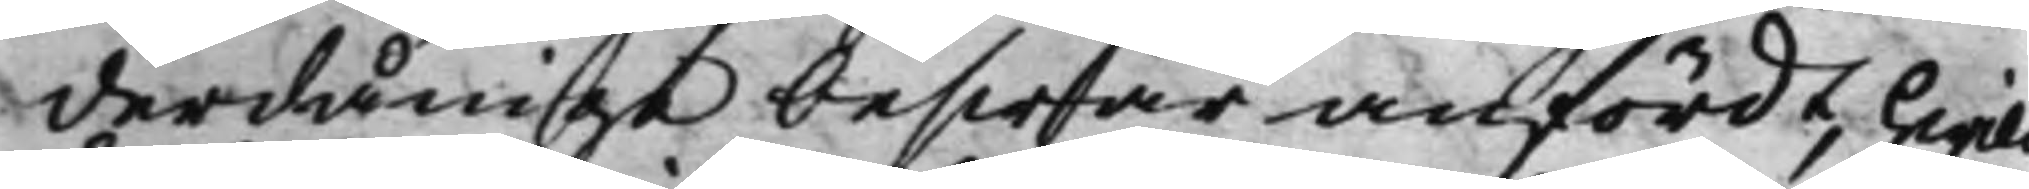derdånige beswär anfördt, hwil¬
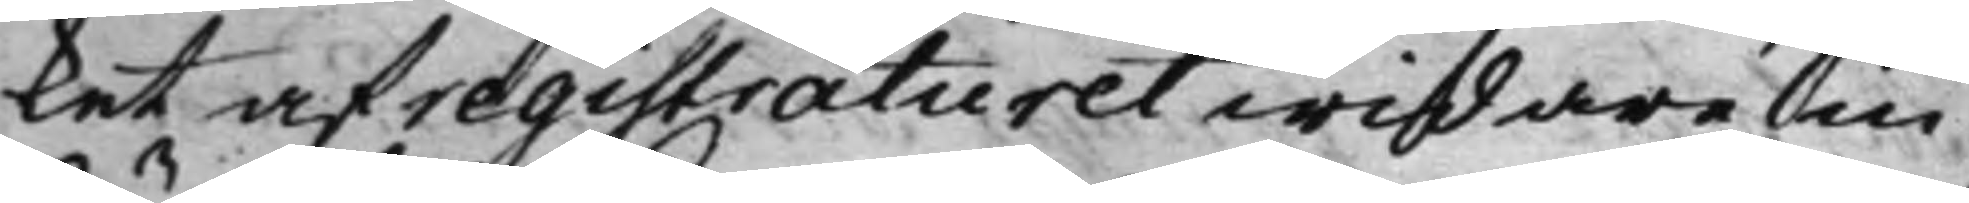ket af registraturet widare in¬
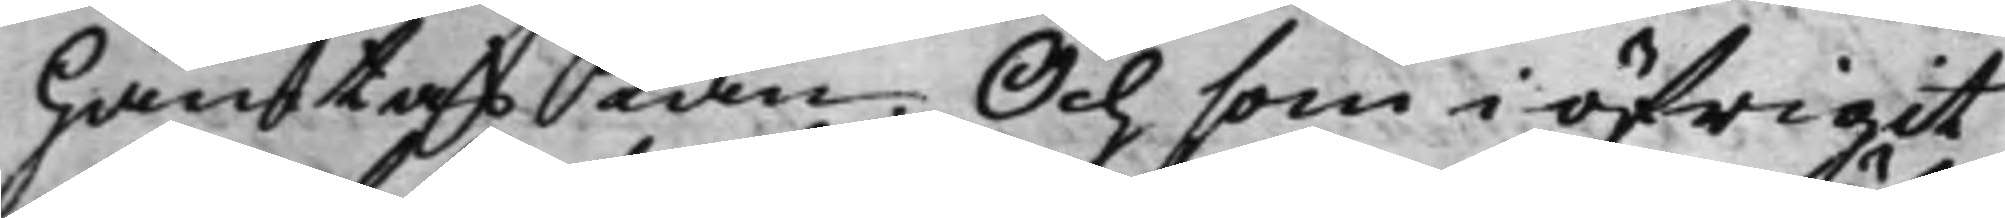hämtas Kan. Och som i öfrigit
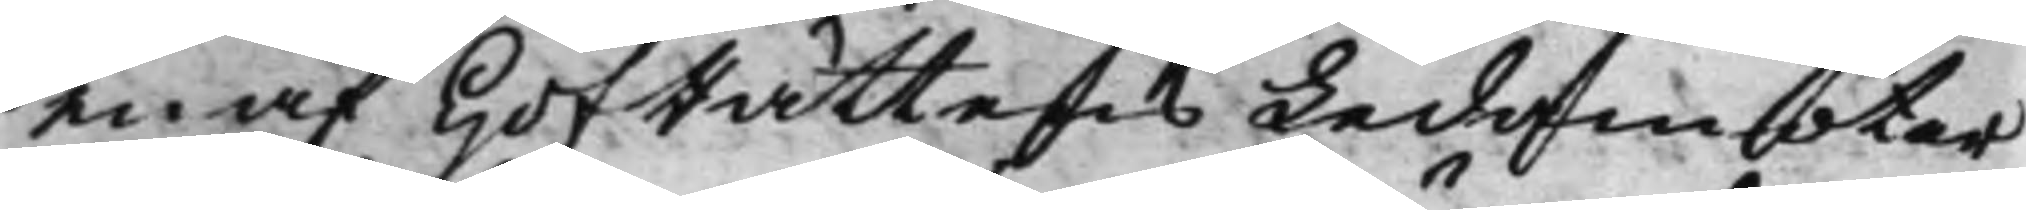en af HofRättens Ledamöter
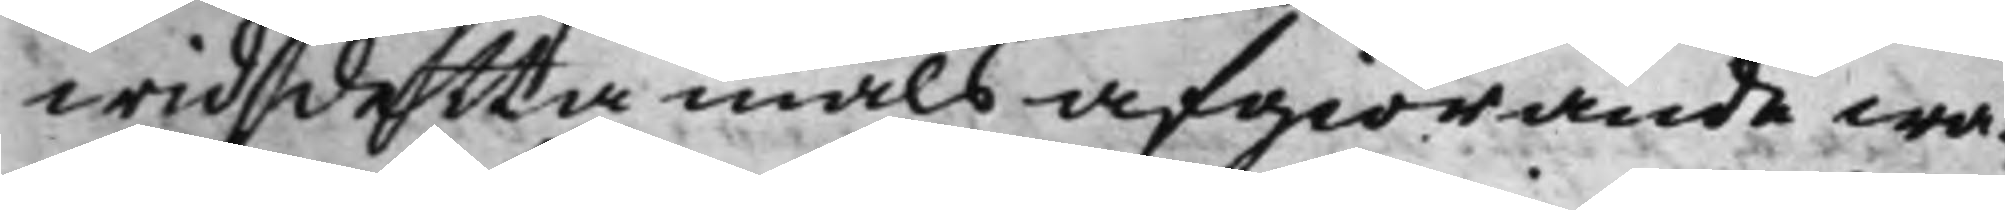wid detta måls afgiörande wa¬
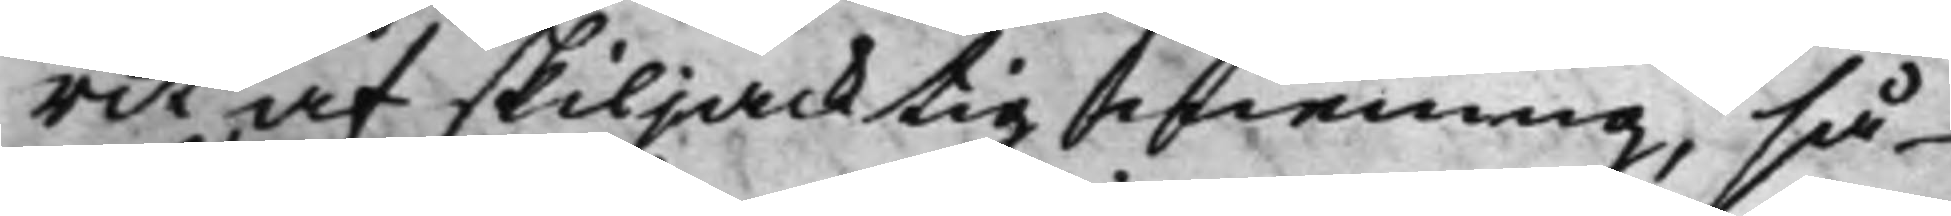rit af skiljacktig mening, så
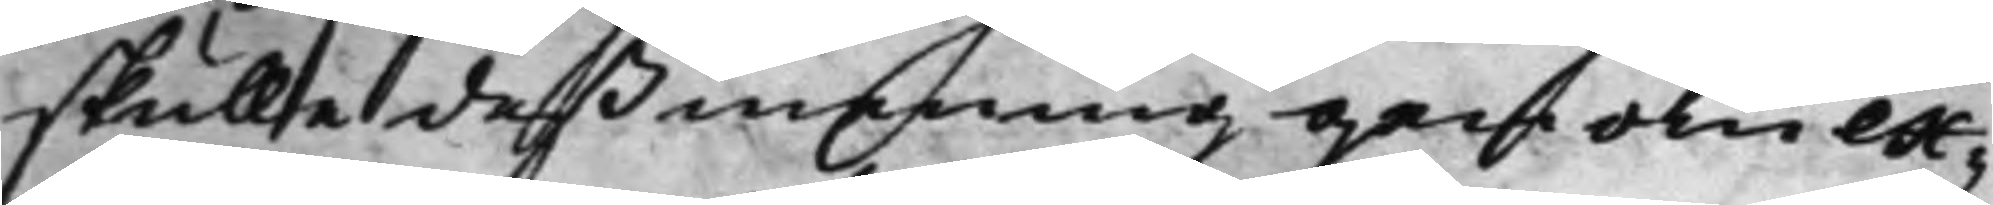skulle deß mening genom ex¬
